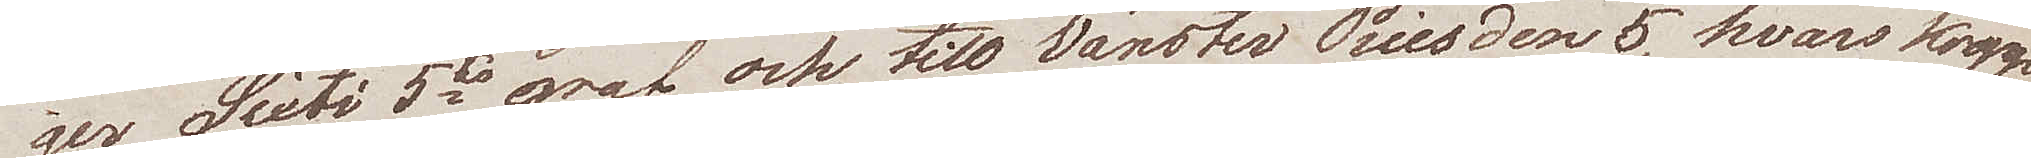ger Sixti 5es graf, och till vänster Piis den 5, hvars kropp
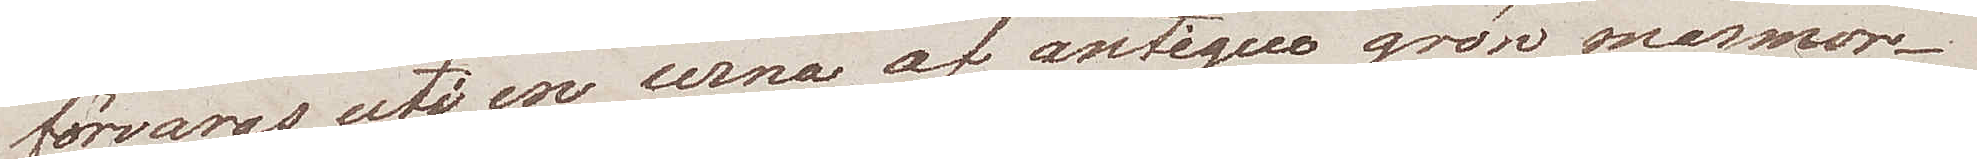förvaras uti en urna av antique grön marmor.
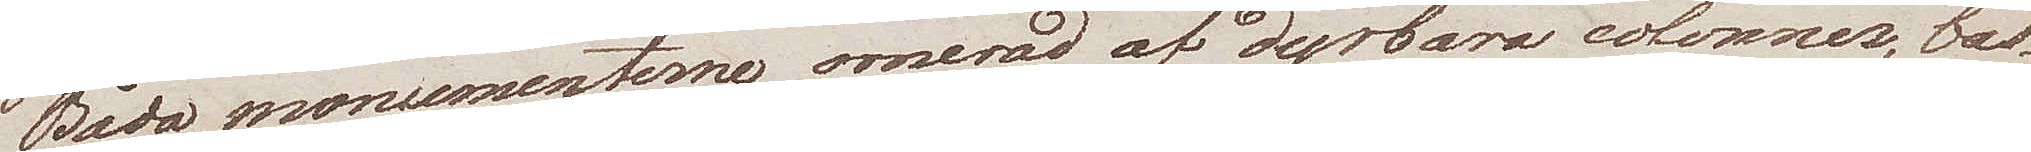Båda monumenterne ornerad af dyrbara colonner, bas
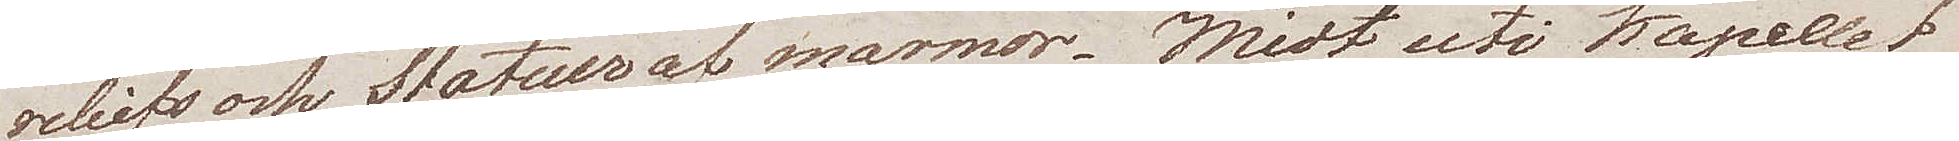reliefs och Statuer af marmor. Midt uti kapellet
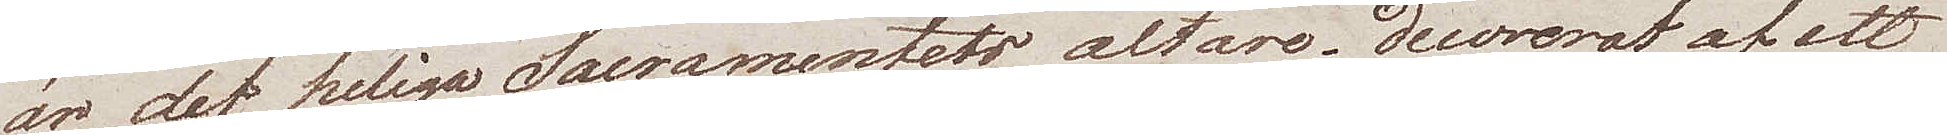är det heliga Sacramentets altare; decorerat af ett
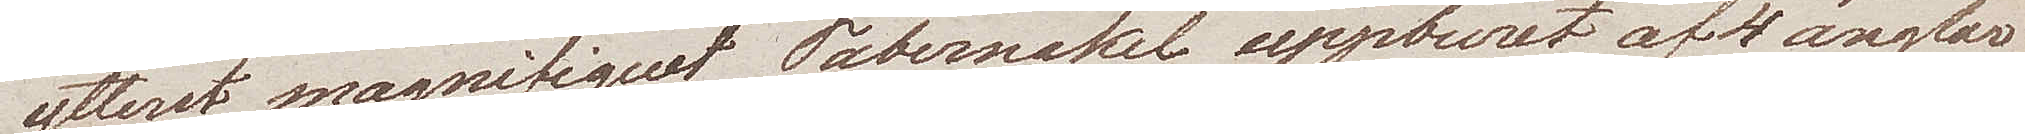ytterst magnifiquet Tabernakel uppburet af 4 änglar
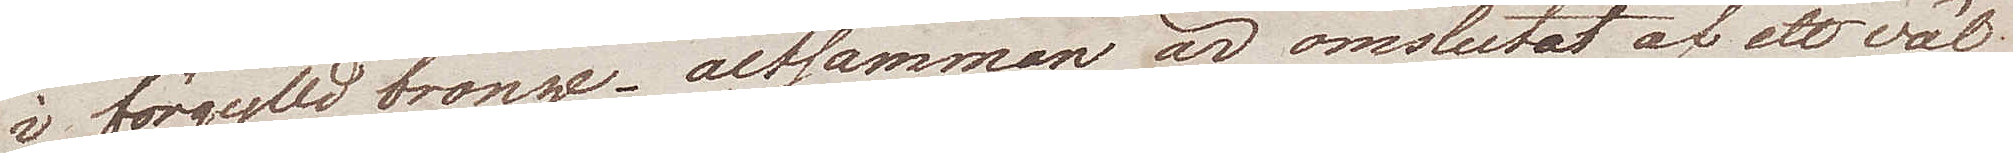i förfylld bronze – altsamman är omslutet af ett väl
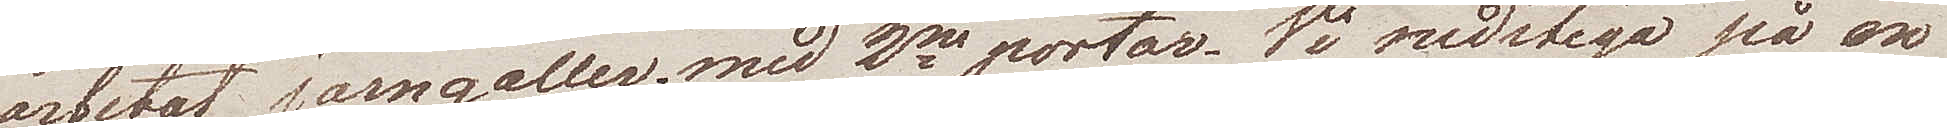arbetat järngaller med 2ne portar. Vi nedstego på en
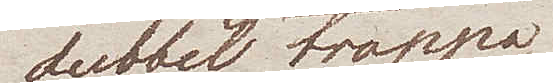dubbel trappa
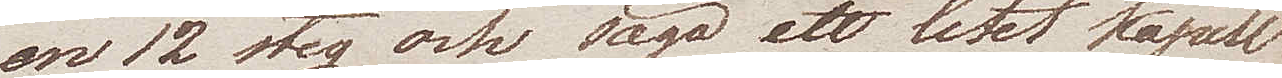om 12 steg och sågo ett litet kapell
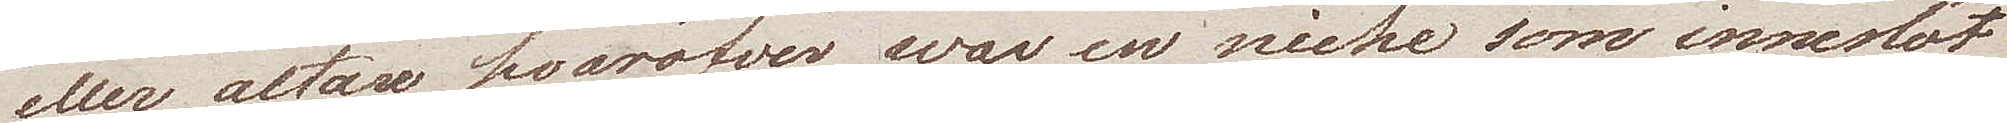eller altare, hvaröfver war en niche som inneslöt
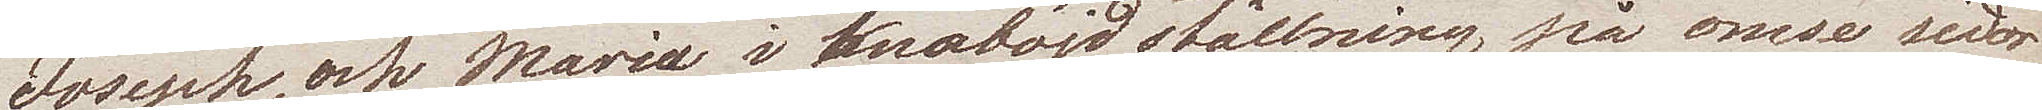Joseph, och Maria i knäböjd ställning på ömse sidor
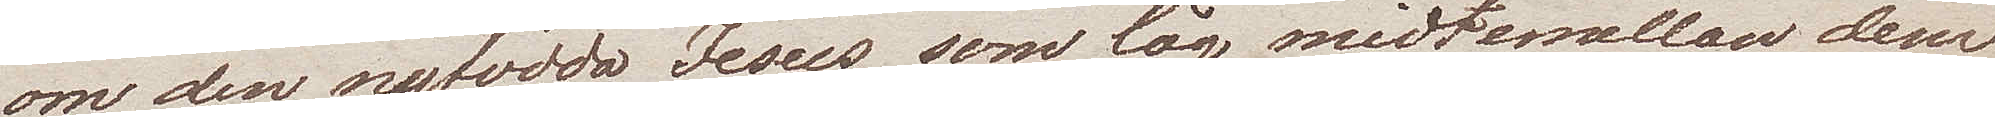om den nyfödda Jesus som låg midtemellan dem.
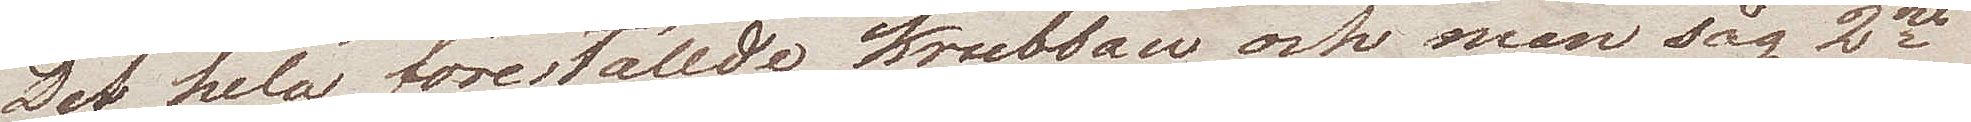Det hela föreställde krubban och man såg 2ne
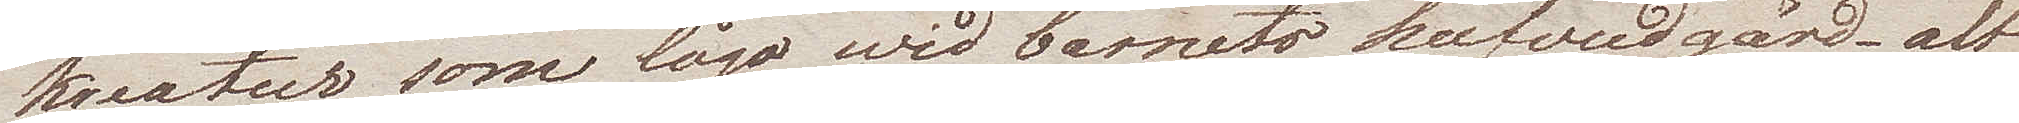kreatur som lågo wid barnets hufvudgärd – alt
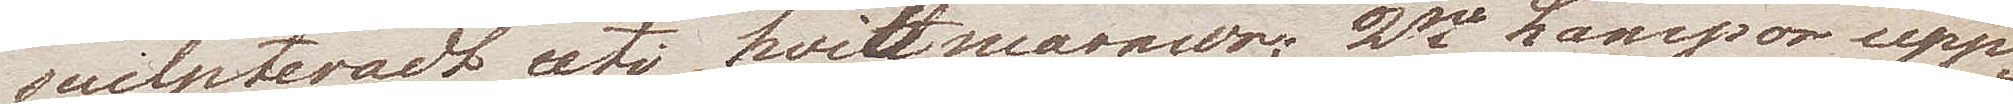sculpteradt uti hvit marmor; 2ne Lampor upp¬
